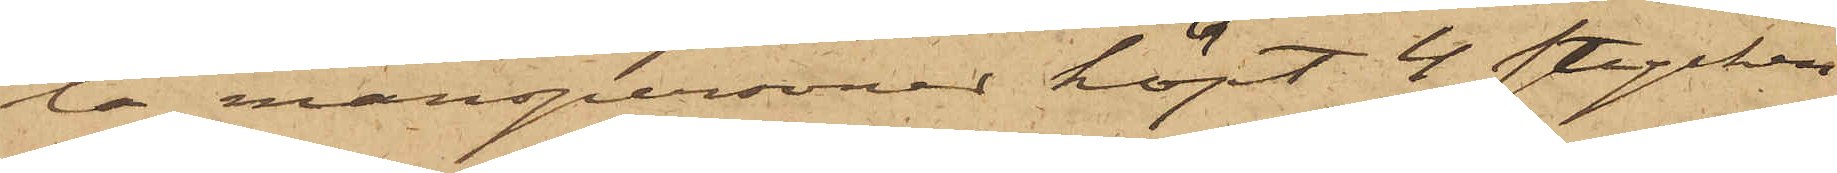ta manspersoner köpt 4 stycken
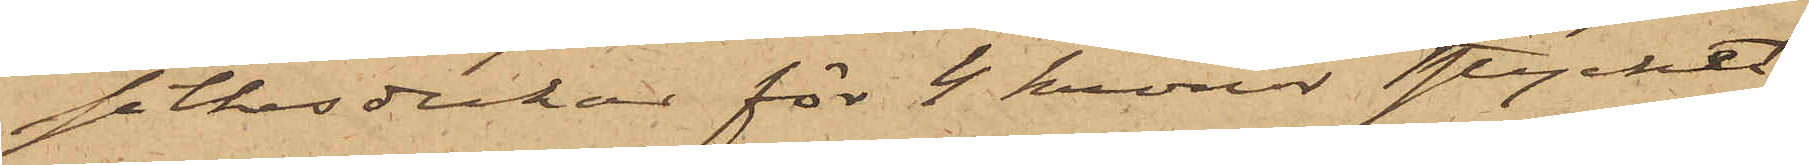silkesdukar för 4 kronor stycket;
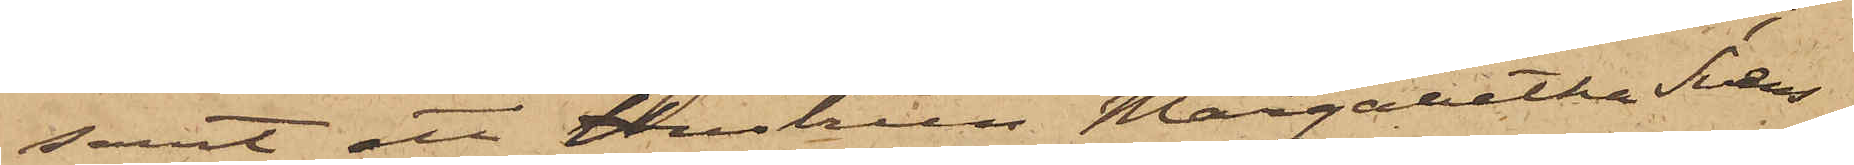samt att Hustrun Margaretha Svens¬
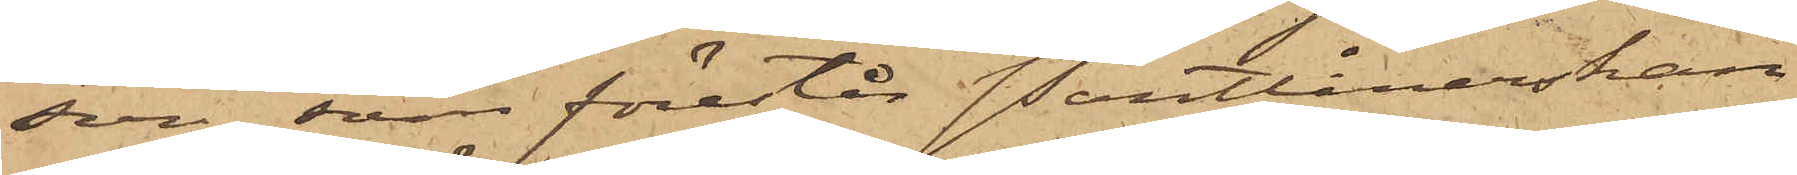son, som förestår Pantlånerskan
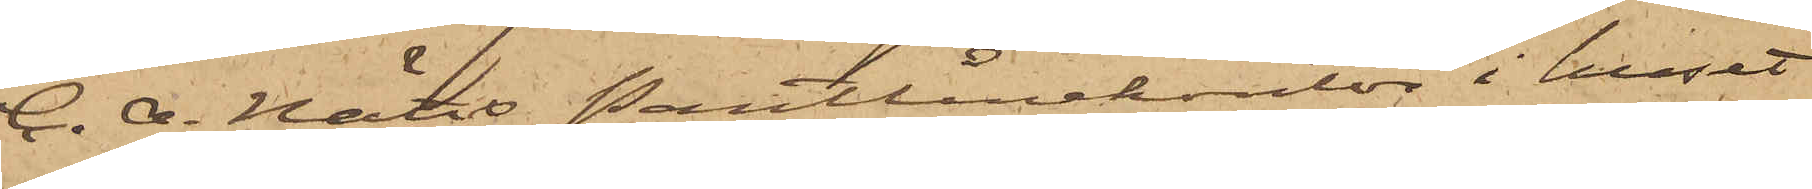C. A. Nätts Pantlånekontor i huset
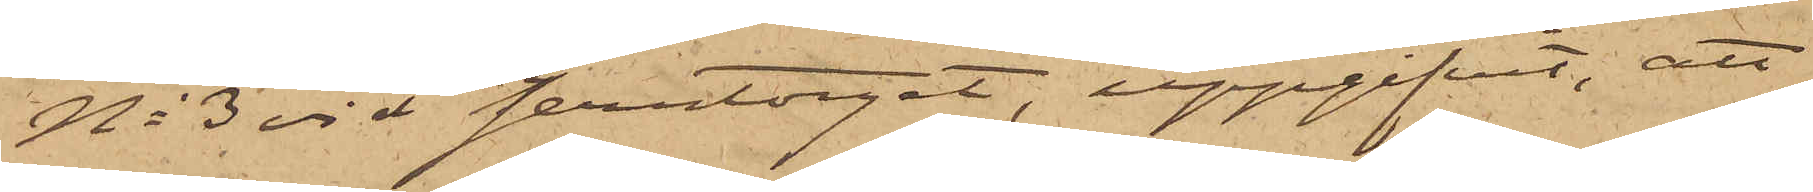No 3 vid Jerntorget, uppgifvit, att
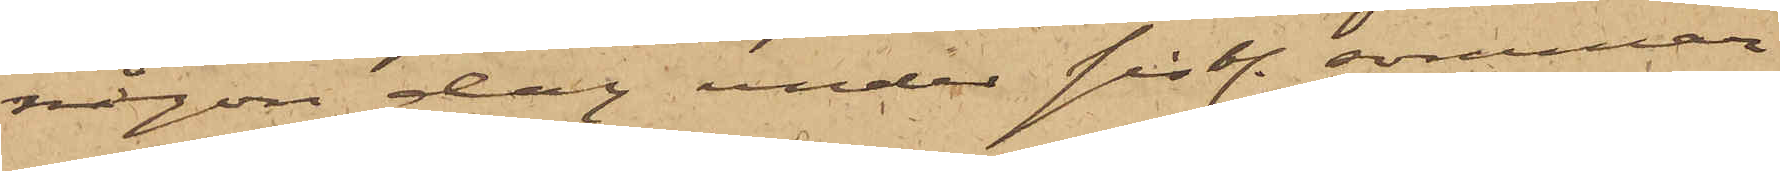någon dag under sistl. sommar
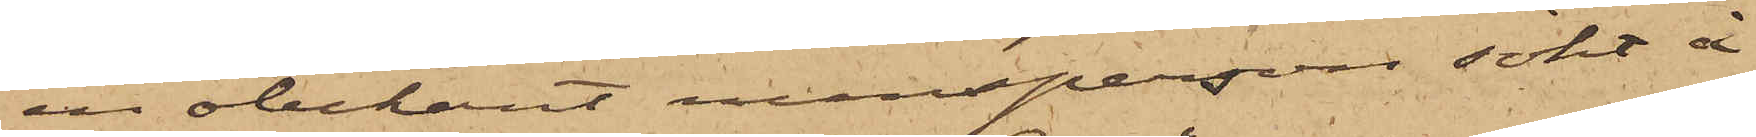en obekant mansperson sökt å
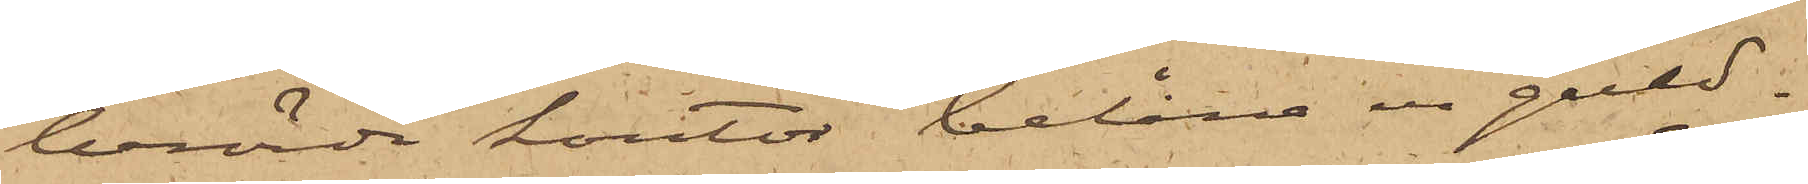berörde kontor belåna en guld¬
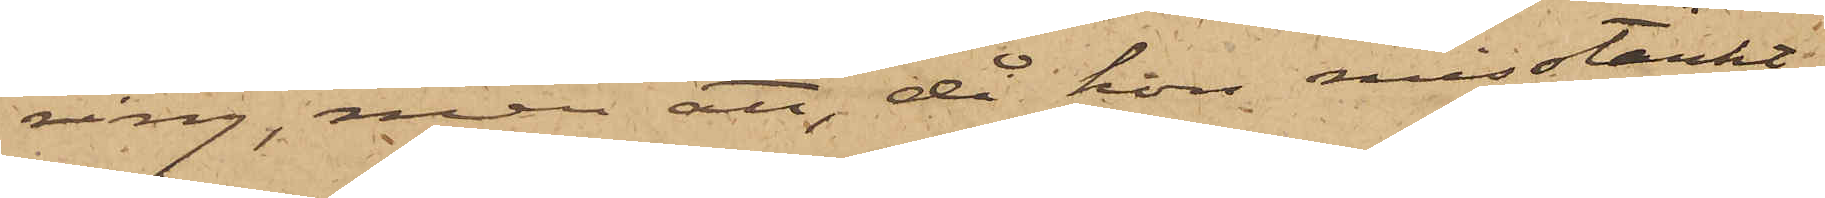ring, men att, då hon misstänkt
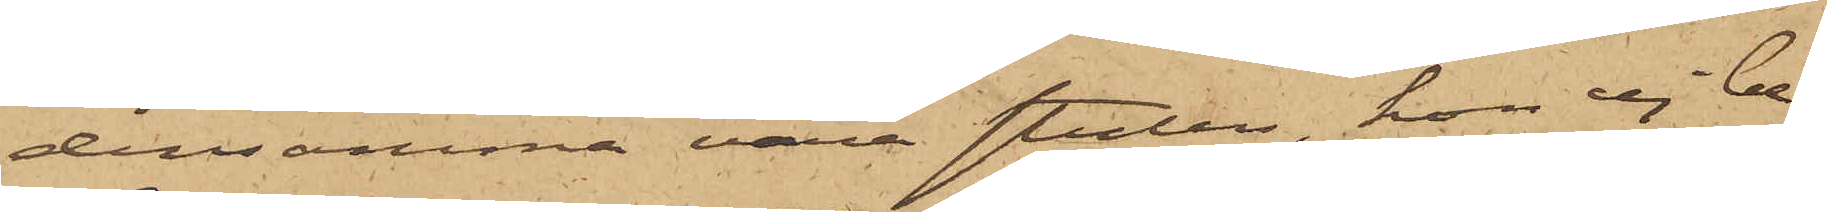densamma vara stulen, hon ej be¬
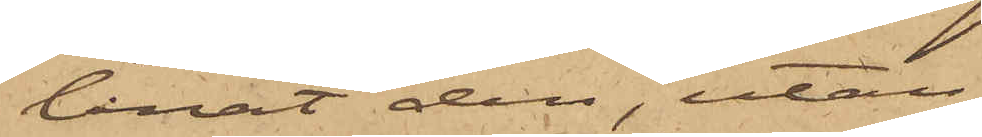lånat den, utan
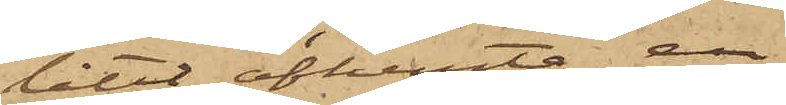låtit afhemta en
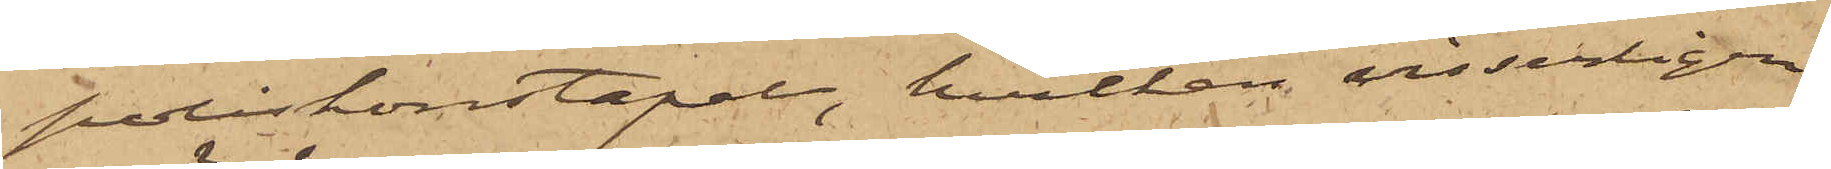poliskonstapel, hvilken visserligen
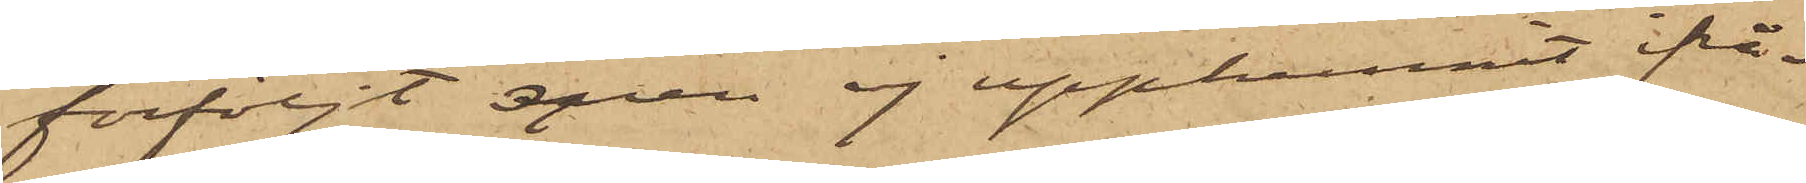förföljt men ej upphunnit ifrå¬
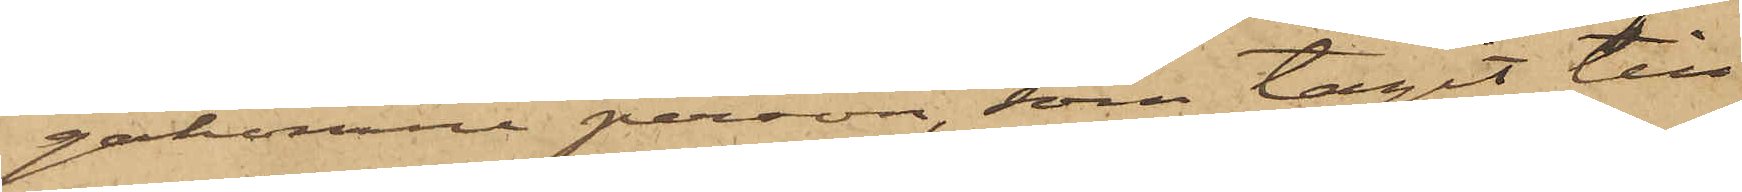gakomne person, som tagit till
